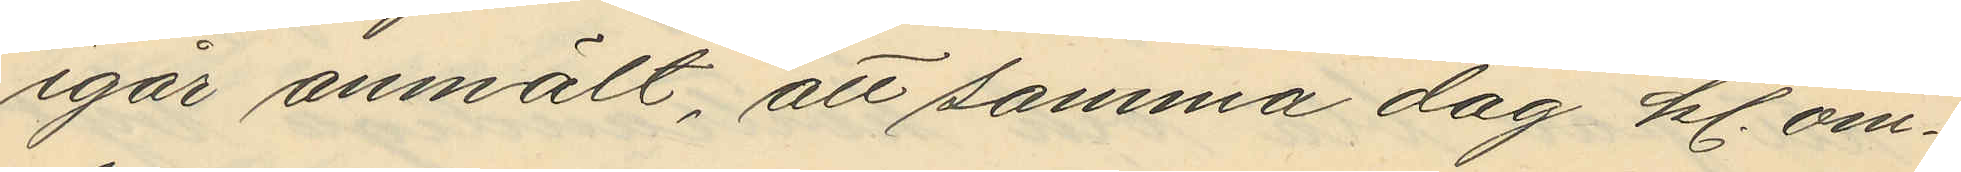igår anmält, att samma dag kl. om¬
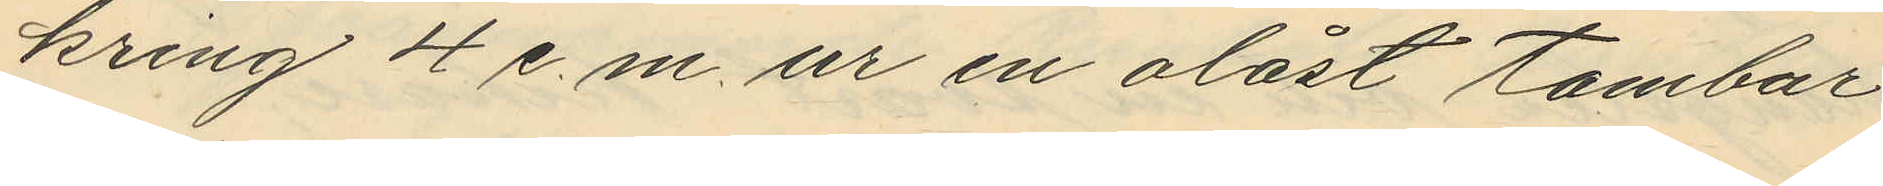kring 4 e.m. ur en olåst tambur
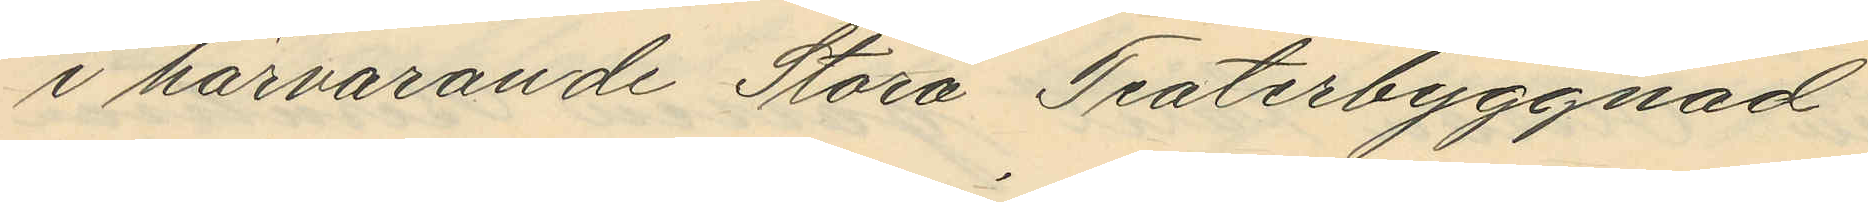i härvarande Stora Teaterbyggnad
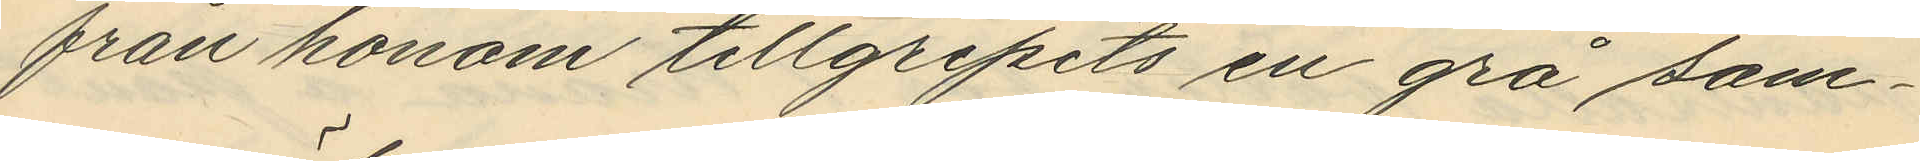från honom tillgripits en grå som¬
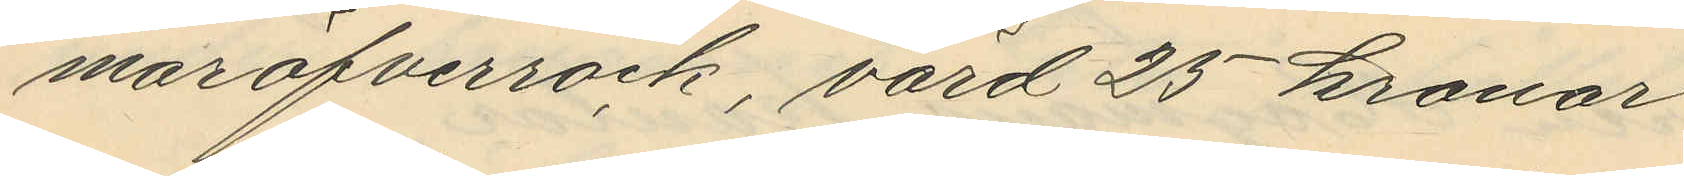maröfverrock, värd 25 kronor
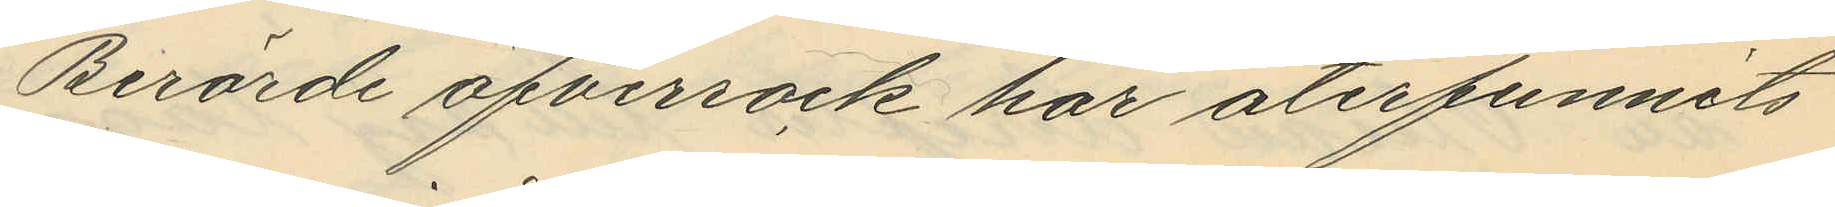Berörde öfverrock har återfunnits
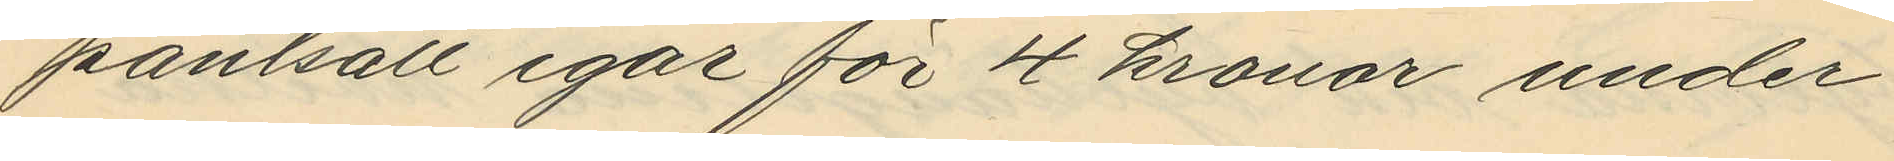pantsatt igår för 4 kronor under
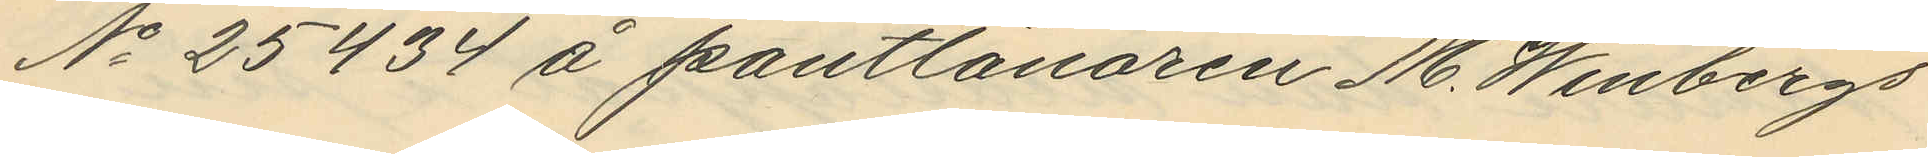No 25434 å pantlånaren M. Winbergs
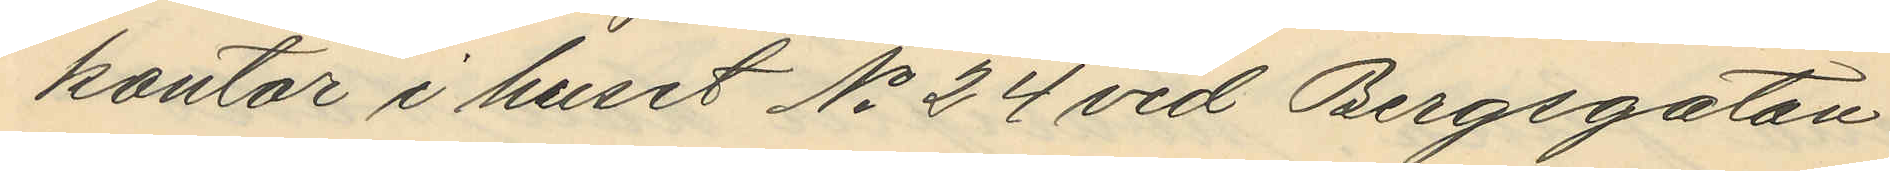kontor i huset No 24 vid Bergsgatan
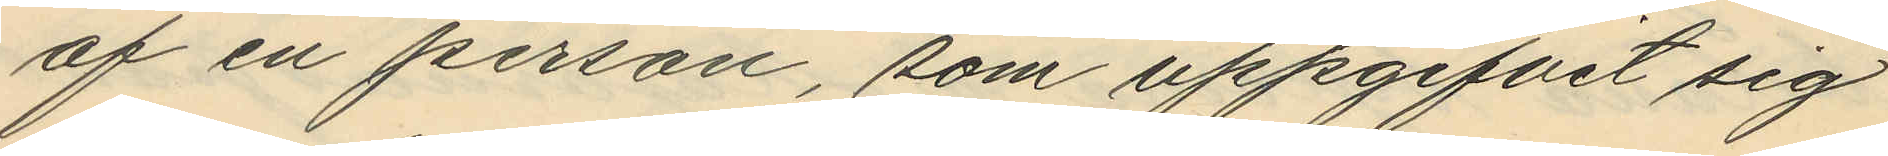af en person, som uppgifvit sig
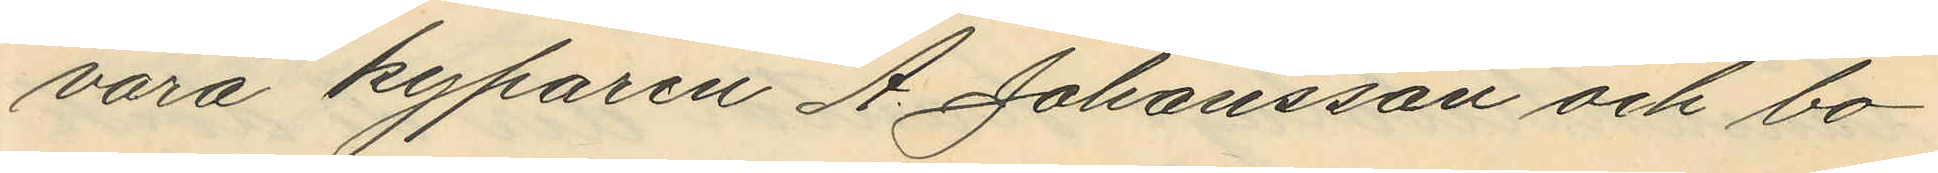vara kyparen A. Johansson och bo¬
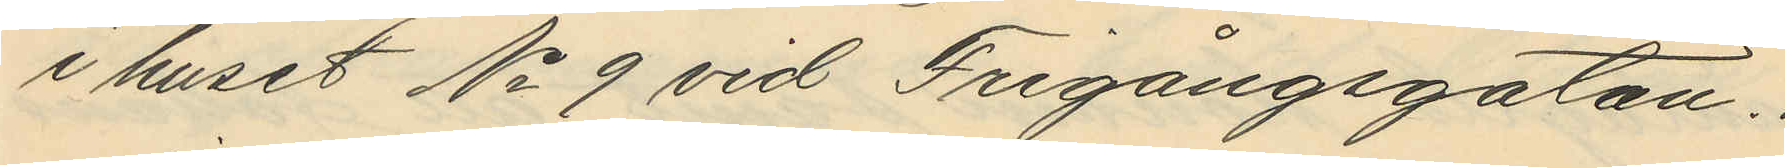i huset No 9 vid Frigångsgatan.
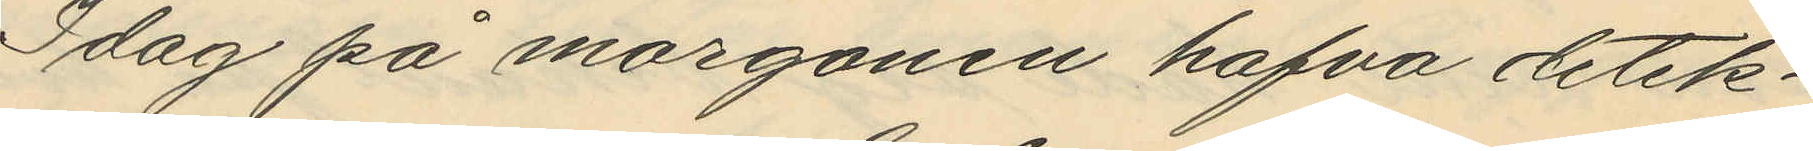Idag på morgonen hafva detek¬
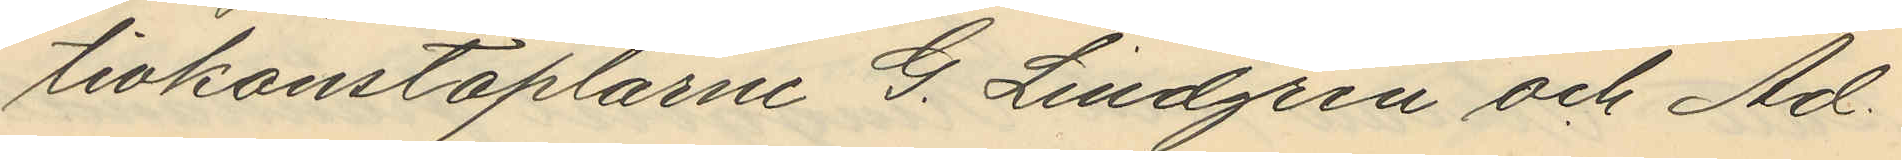tivkonstaplarne G. Lindgren och Ad.
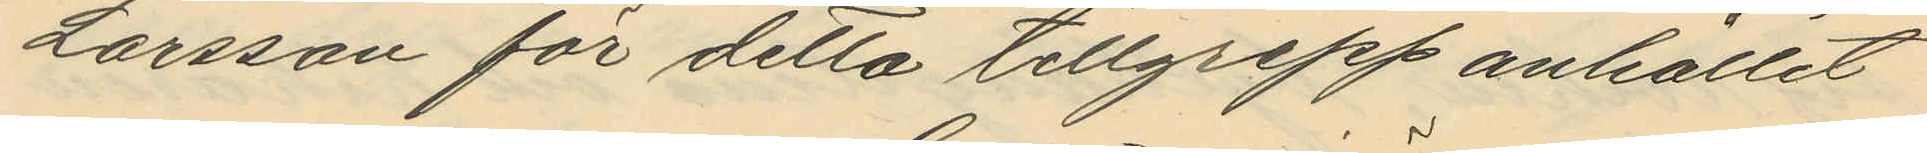Larsson för detta tillgrepp anhållit
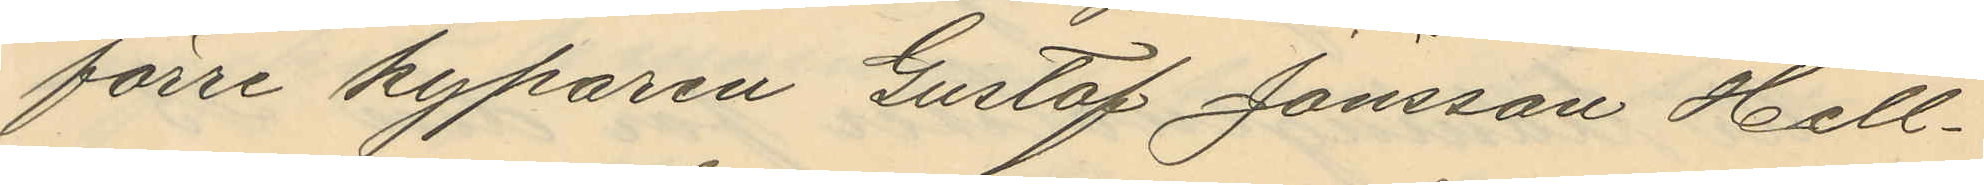förre kyparen Gustaf Jönsson Hell¬
